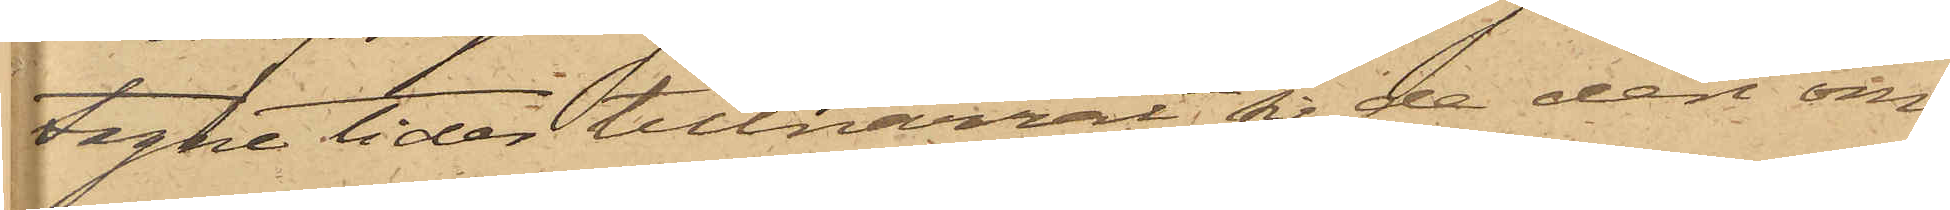tagne tider tillnarrat sig de deri om¬
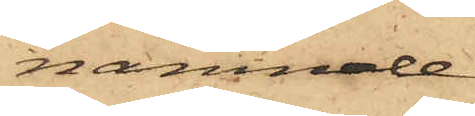nämnde
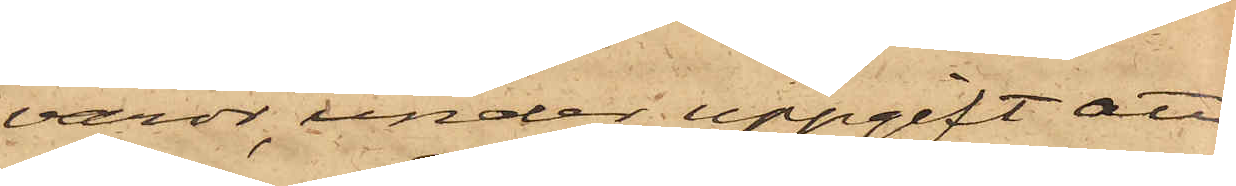varor, under uppgift att
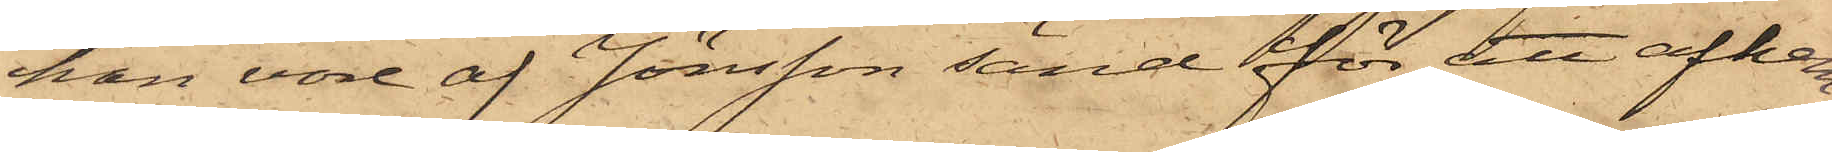han vore af Jönsson sänd för att afhem¬
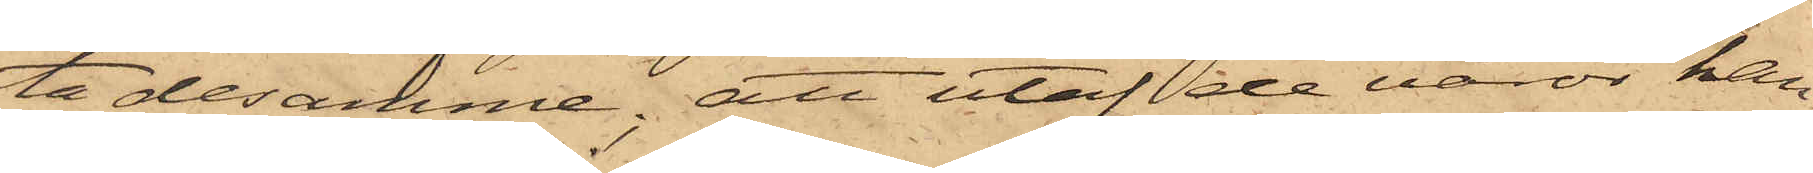ta desamme, att utaf de varor han
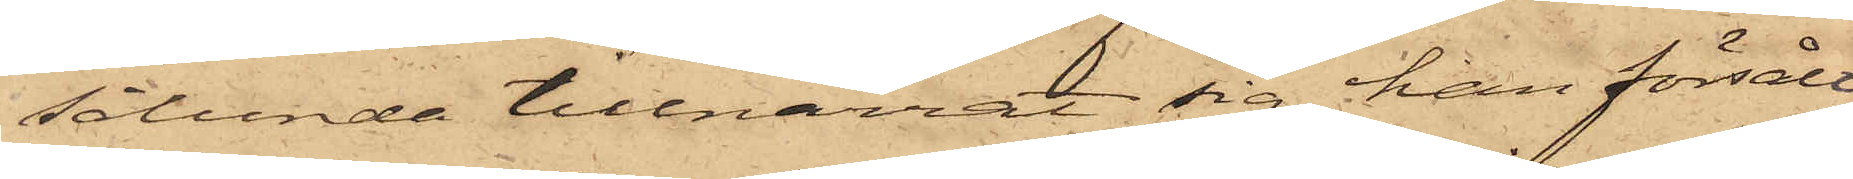sålunda tillnarrat sig han försålt
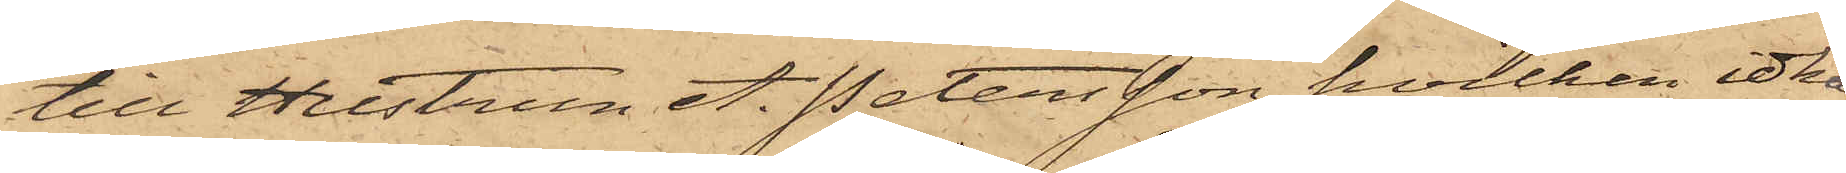till Hustrun A. Petersson, hvilken idkar
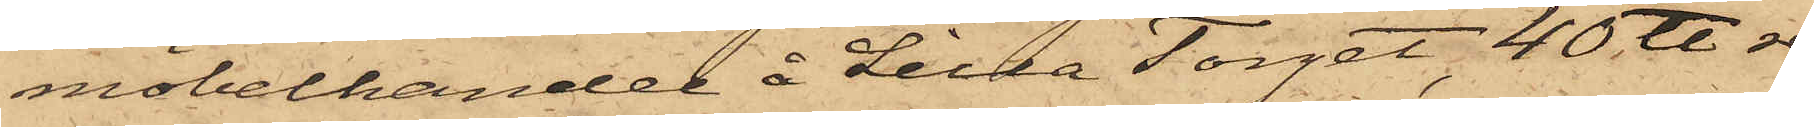möbelhandel å Lilla Torget, 40 ℔ re¬
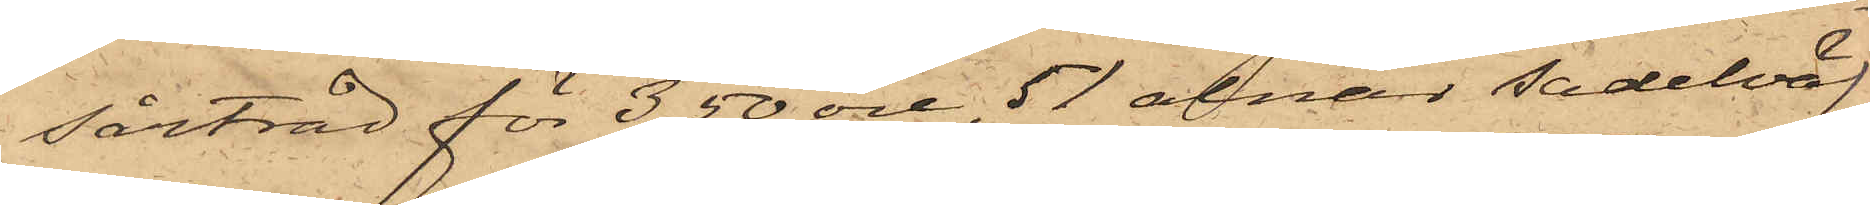sårtråd för 3,50 öre, 51 alnar sadelväf
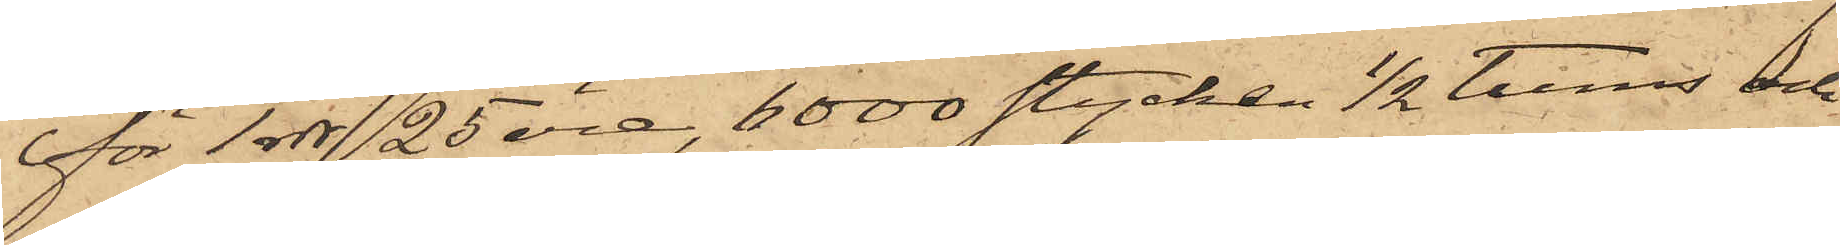för 1 rdr 25 öre, 6000 stycken 1/2 tums och
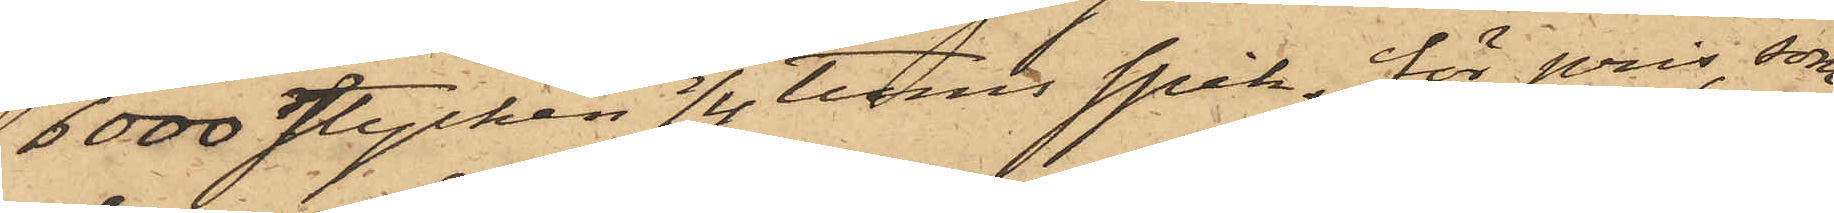6000 stycken 3/4 tums spik, för pris, som
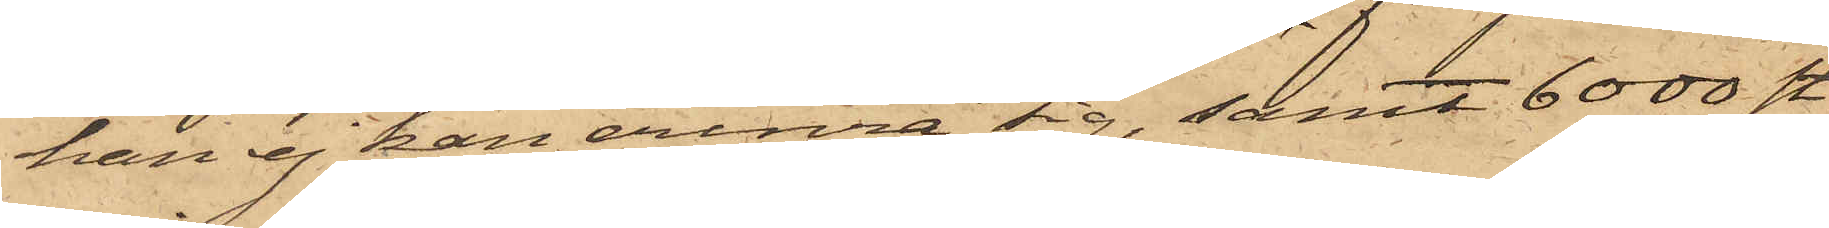han ej kan erinra sig, samt 6000 st.
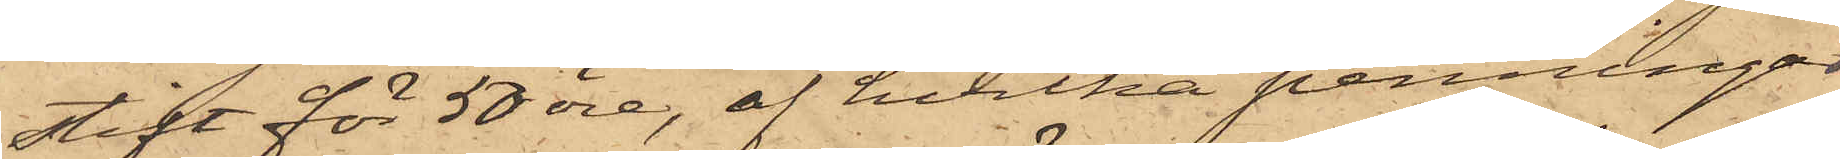stift för 50 öre, af hvilka penningar
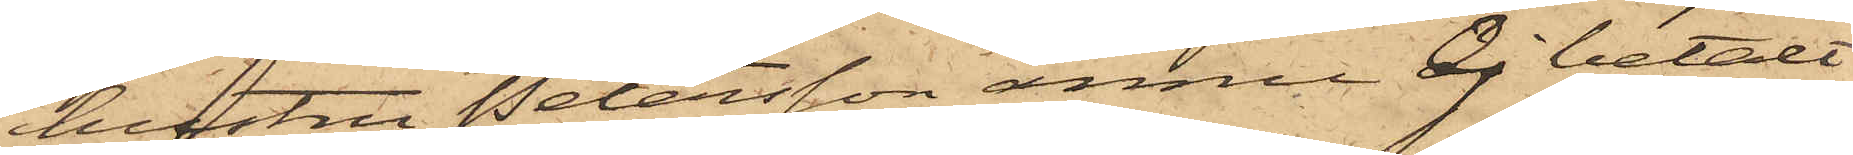hustru Petersson ännu ej betalt
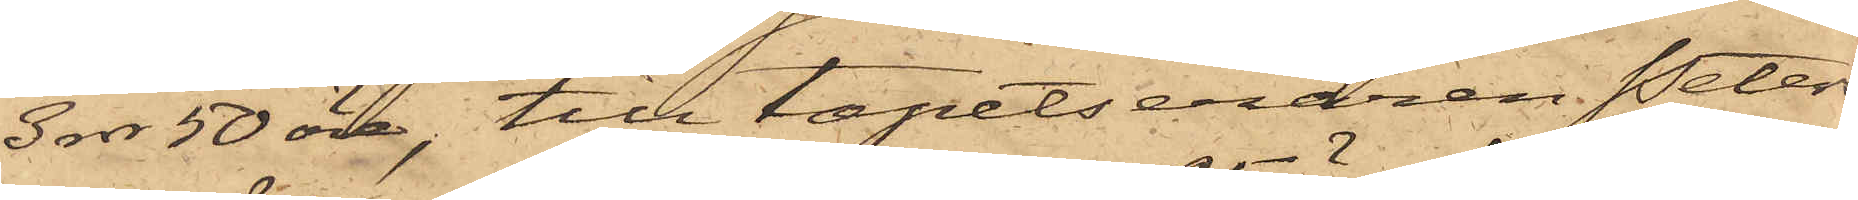3 rdr 50 öre, till tapetseraren Peters¬
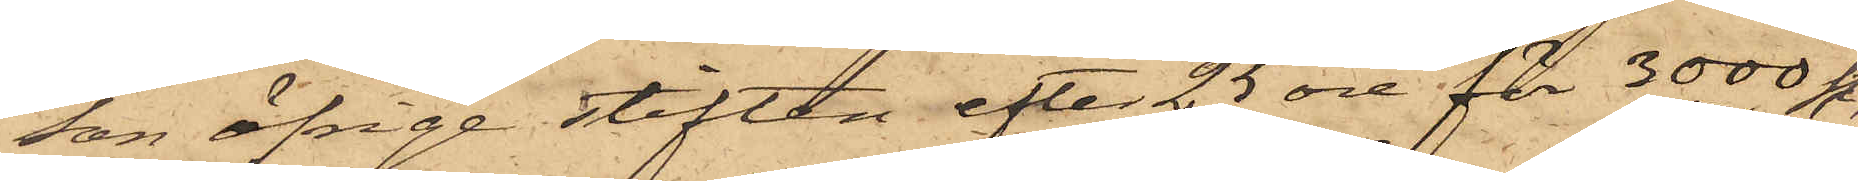son öfrige stiften efter 25 öre för 3000 st.,
